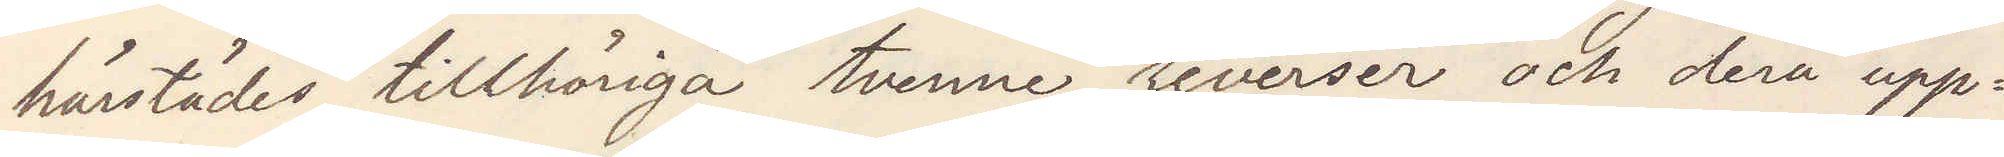härstädes tillhörige tvenne reverser och deras upp¬
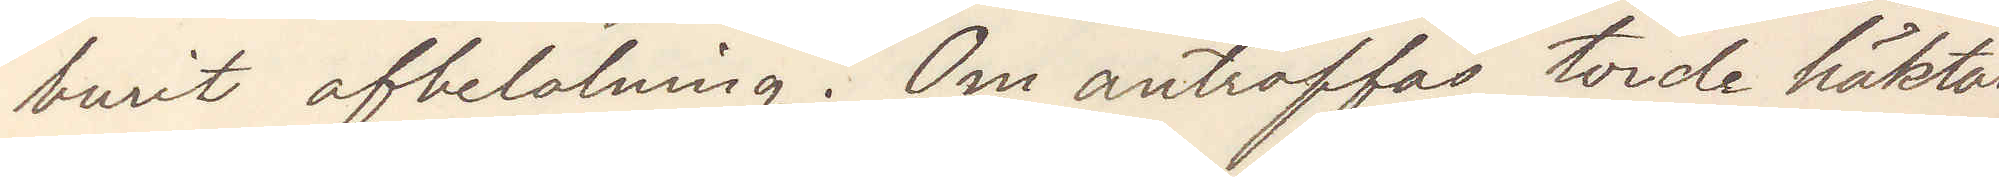buri afbetalning. Om anträffas, torde häktas
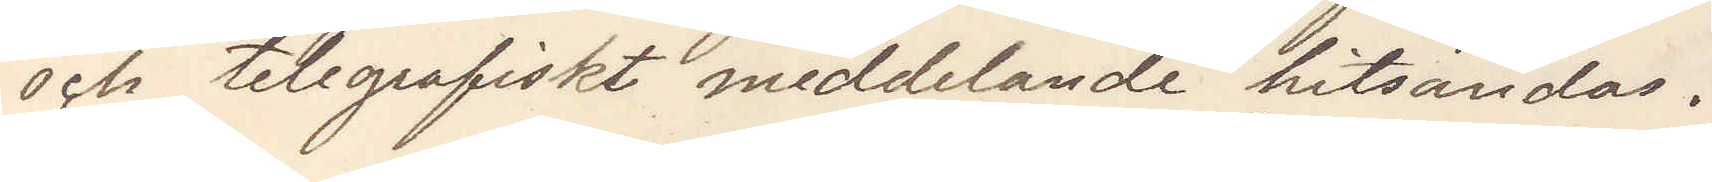och telegrafiskt meddelande hitsändas.
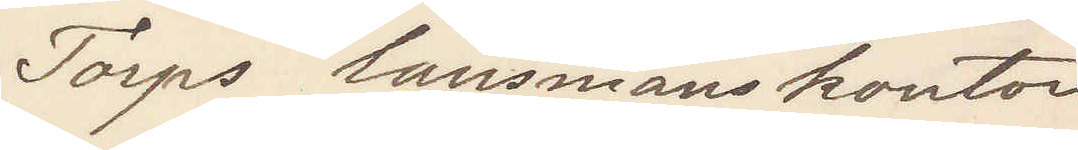Torps länsmanskontor
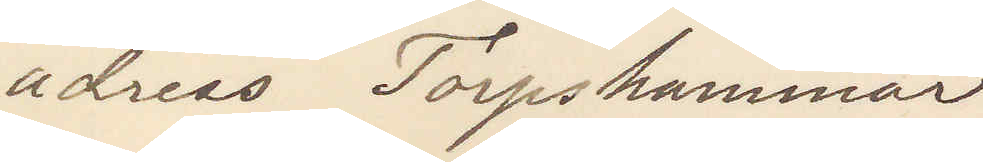adress Torpshammar.
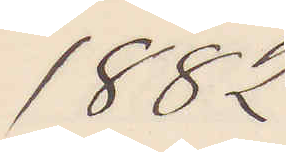1882
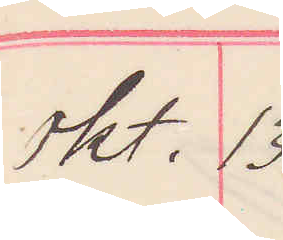okt. 13.
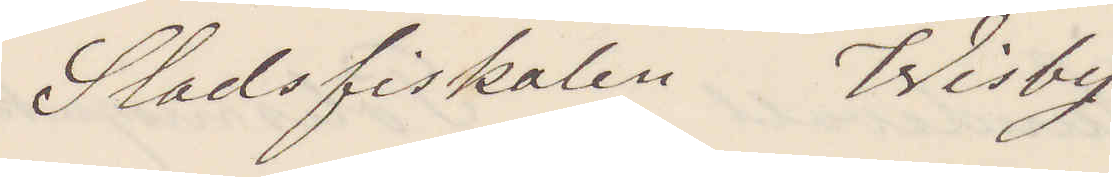Stadsfiskalen Wisby
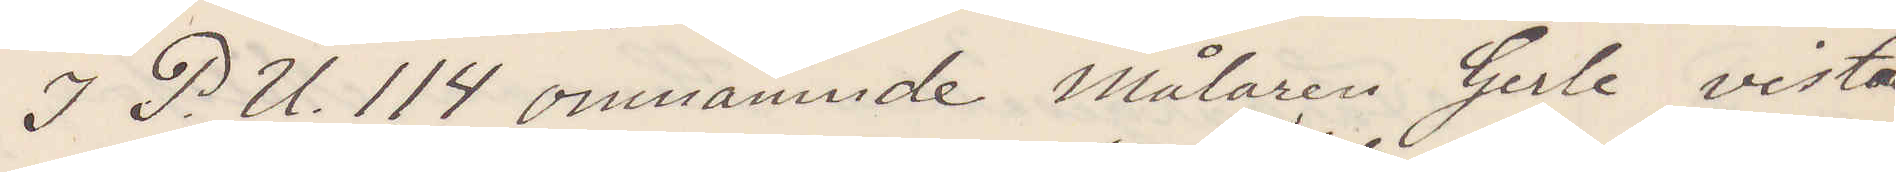I P. U. 114 omnämnde Målaren Gerle vistas
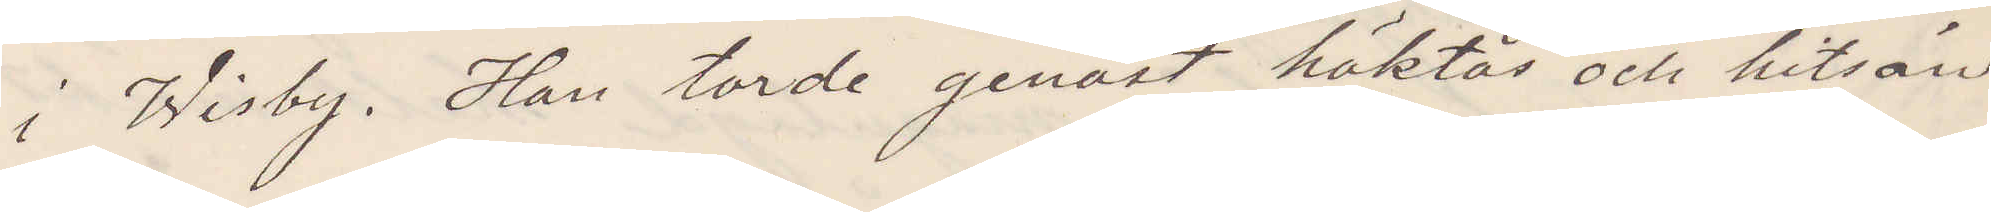i Wisby. Han tirde genast häktas och hitsän¬
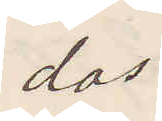das.
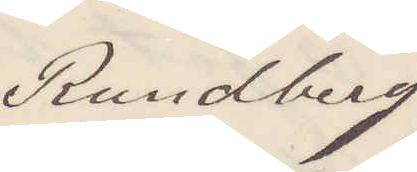Rundberg
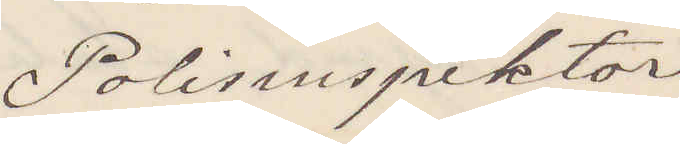Polisinspektor
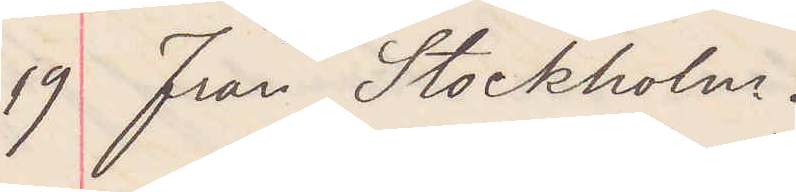19 från Stockholm.
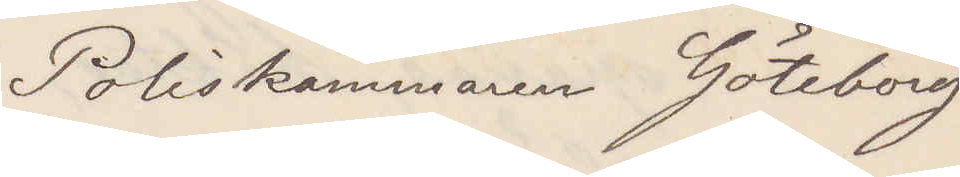Poliskammaren Göteborg
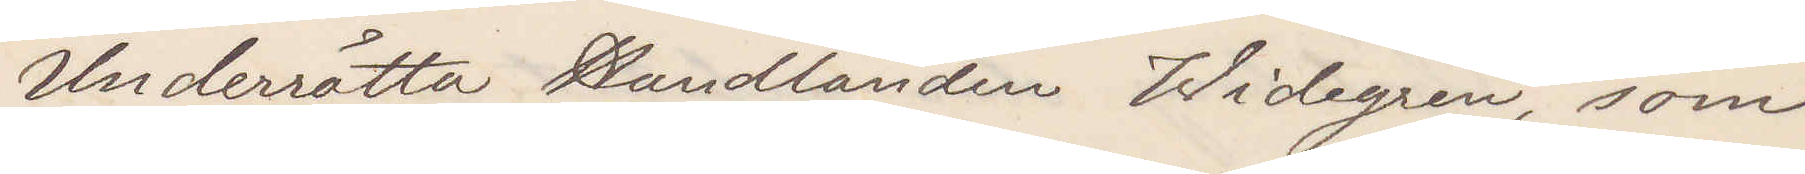Underrätta Handlanden Widegren, som
